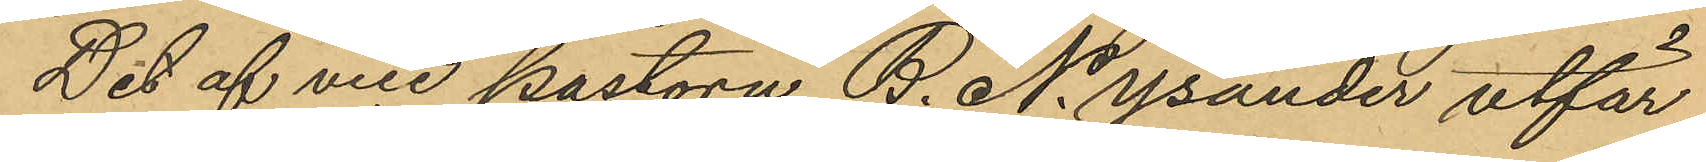Det af vice postorn B. N. Ysander utfär¬
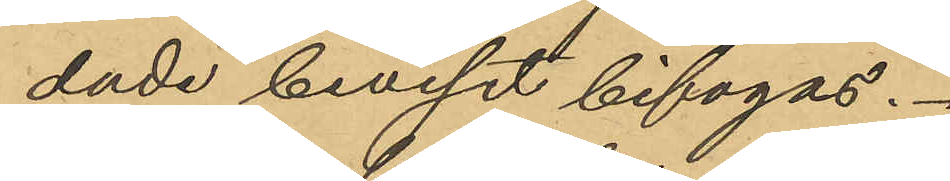dade bevisat bifogas.
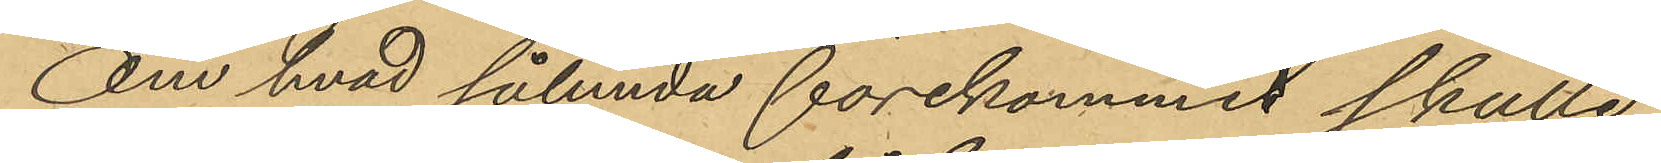Om hvad sålunda förekommit skulle
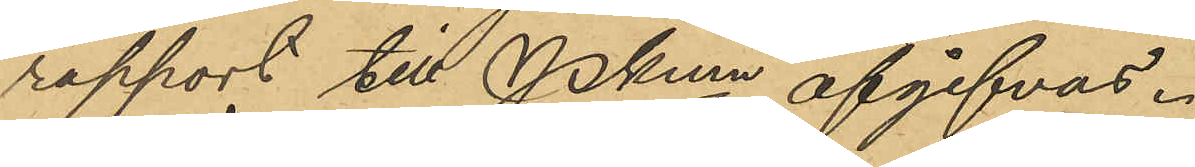rapport till Pkmn afgifvas.
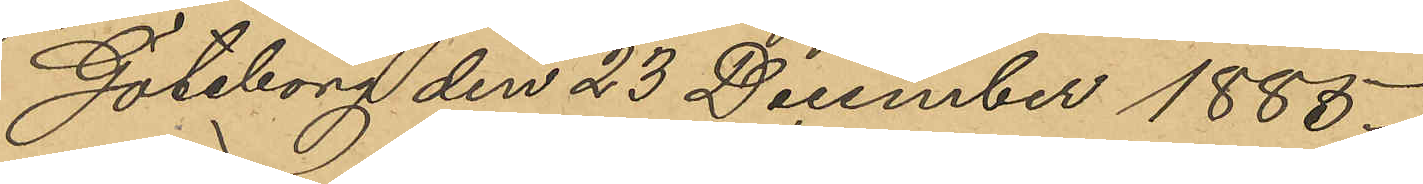Göteborg den 23 December 1885.
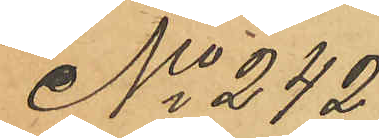No 242
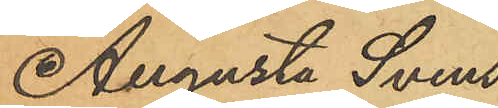Augusta Svens¬
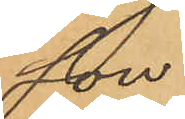son.
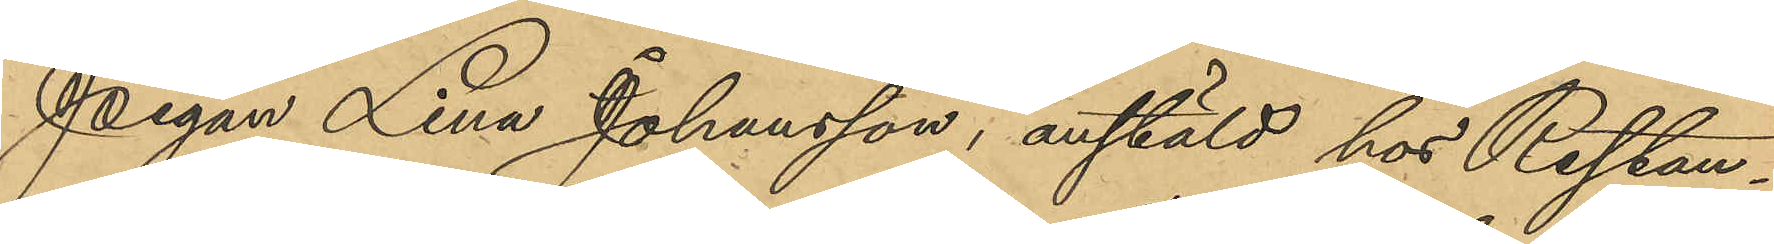Pigan Lina Johansson, anstäld hos Restau¬
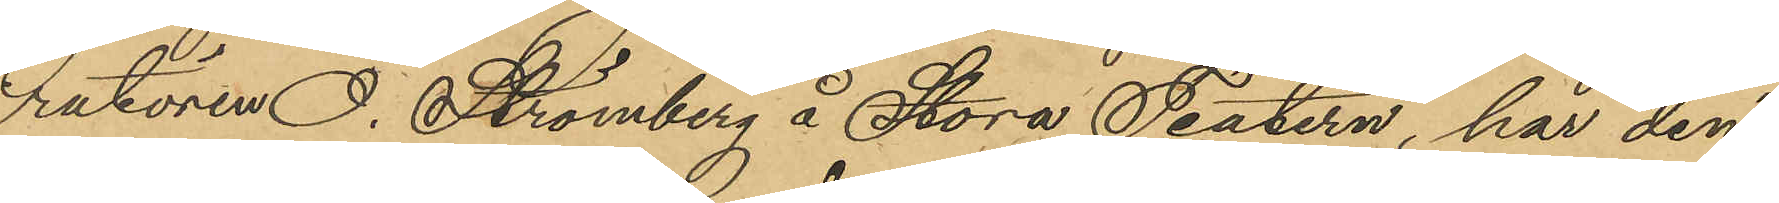ratören O. Strömberg å Stora Teatern, har den
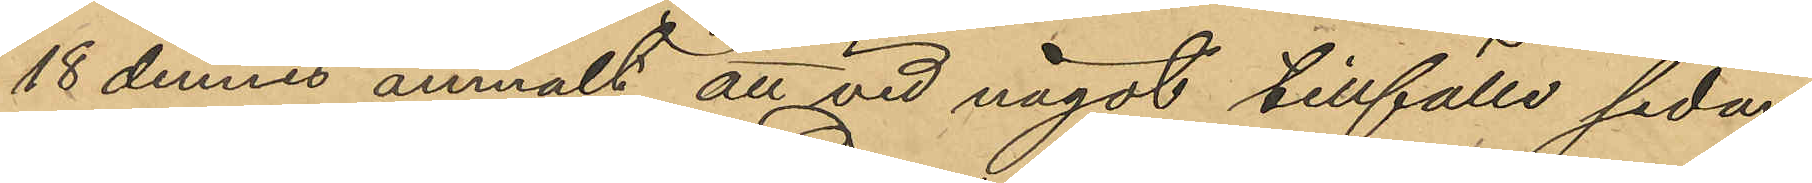18 dennes anmält att vid något tillfälle sedan
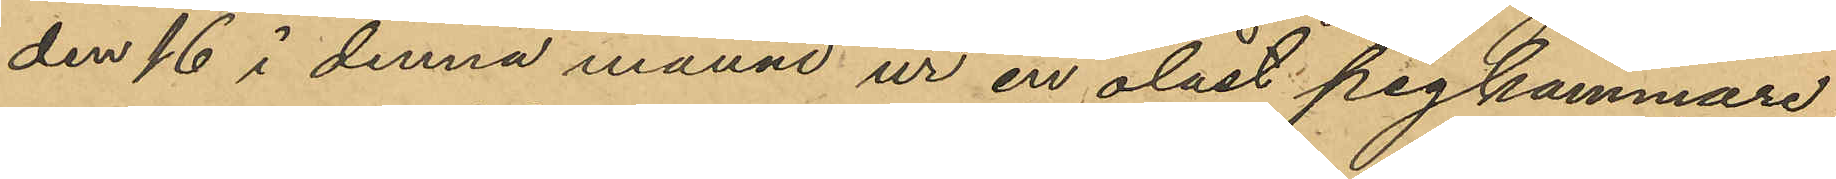den 16 i denna månad ur en olåst pigkammare
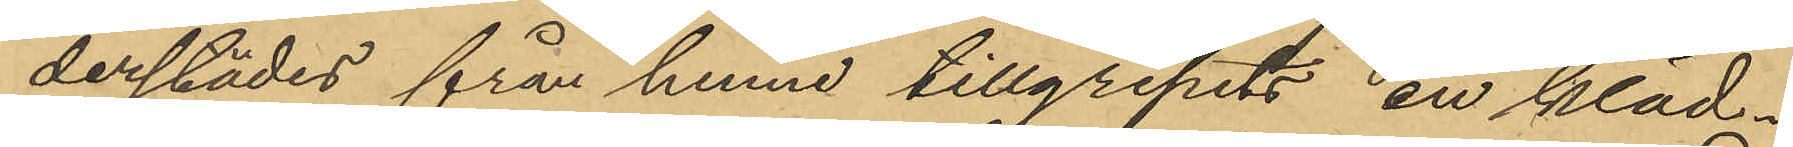derstädes från henne tillgripits en kläd¬
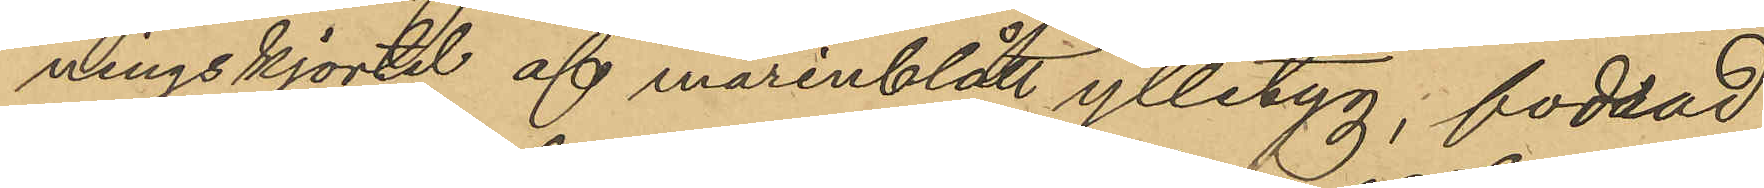ningskjortel af marinblått ylletyg, fodrad
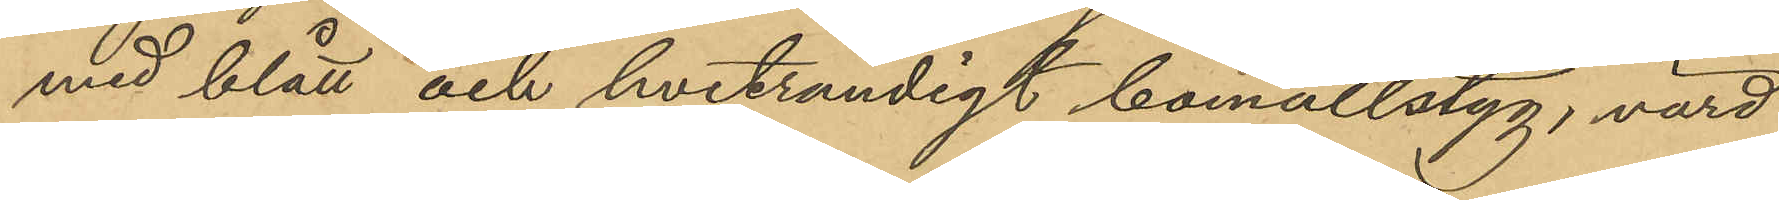med blått och hvitrandigt bomullstyg, värd
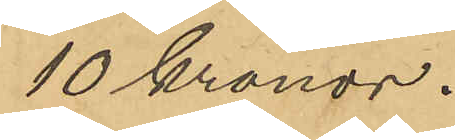10 kronor.
